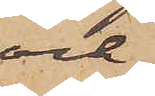och
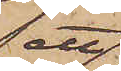ett
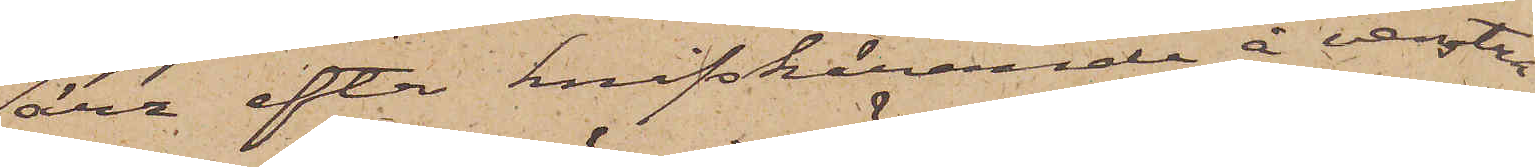ärr efter knifskärande å venstra
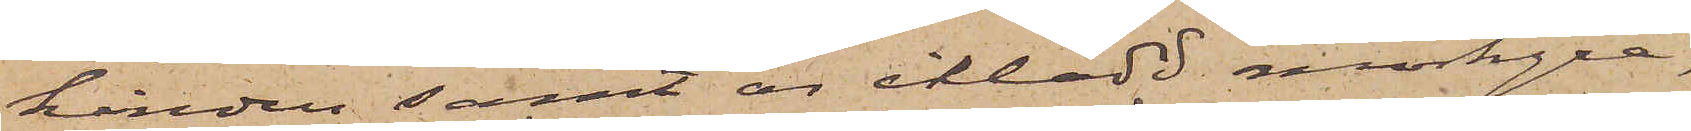kinden samt är iklädd mörkgrå,
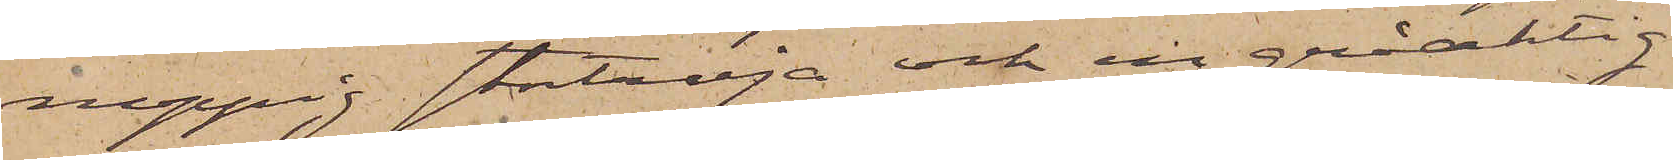noppig stortröja och en gråaktig
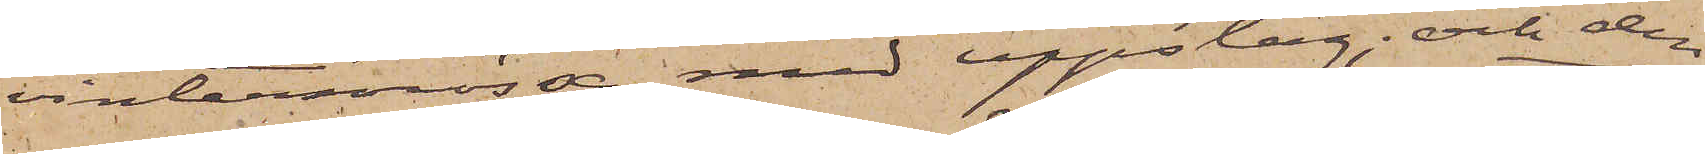vintermössa med uppslag; och den
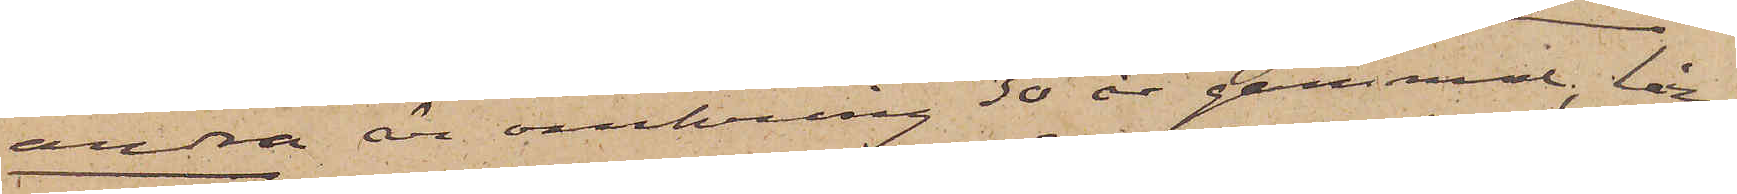andra är omkring 30 år gammal, lång
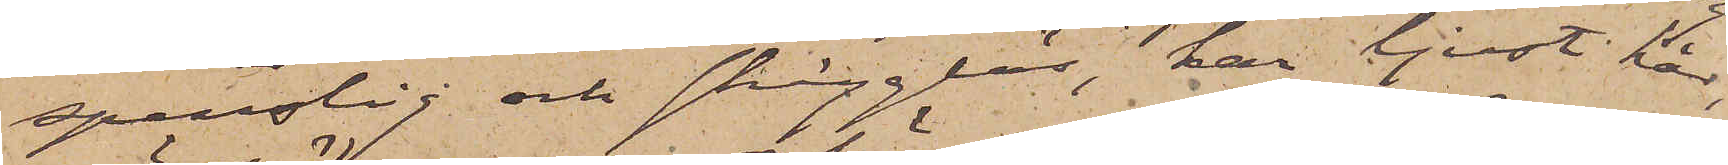spenslig och skägglös, har ljust hår,
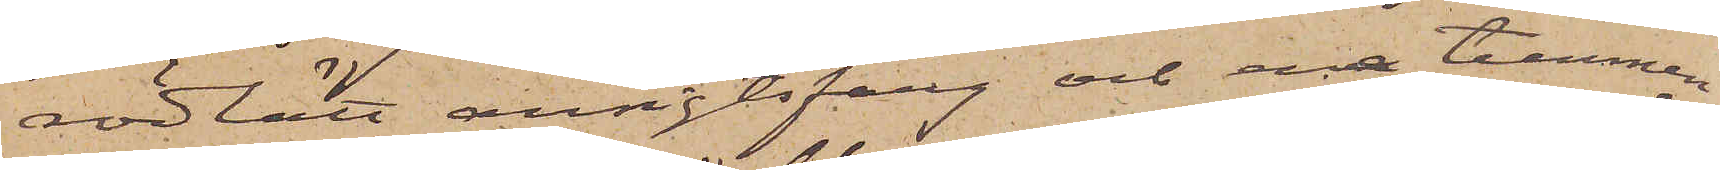rödlätt ansigtsfärg och ena tummen
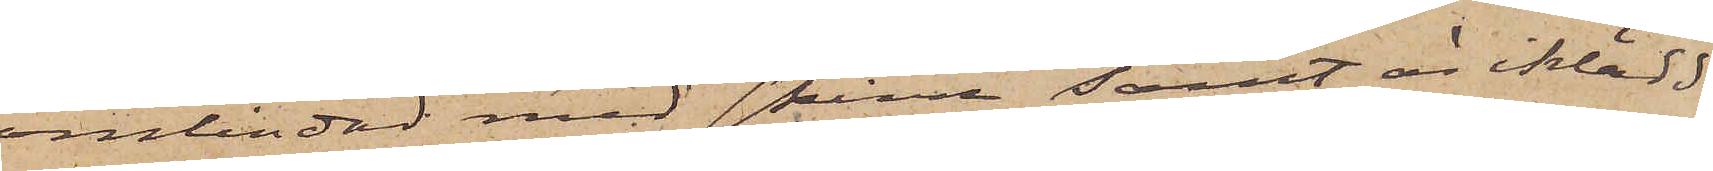omlindad med skinn samt är iklädd
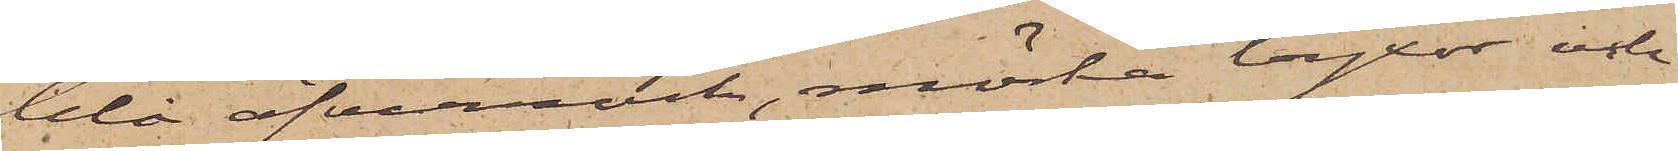blå öfverrock, mörka byxor och
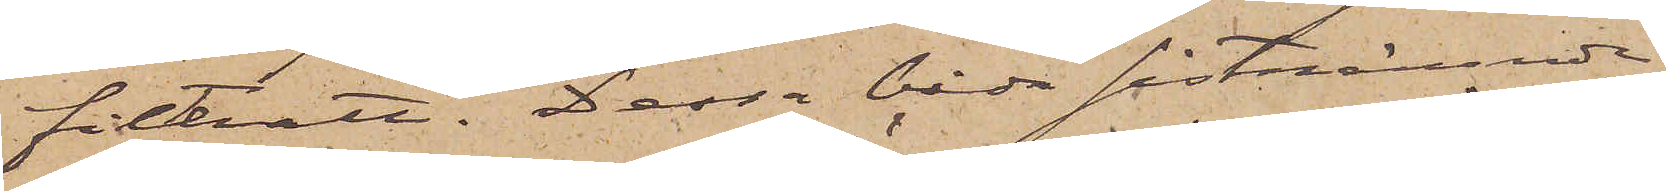filthatt. Dessa båda sistnämnde
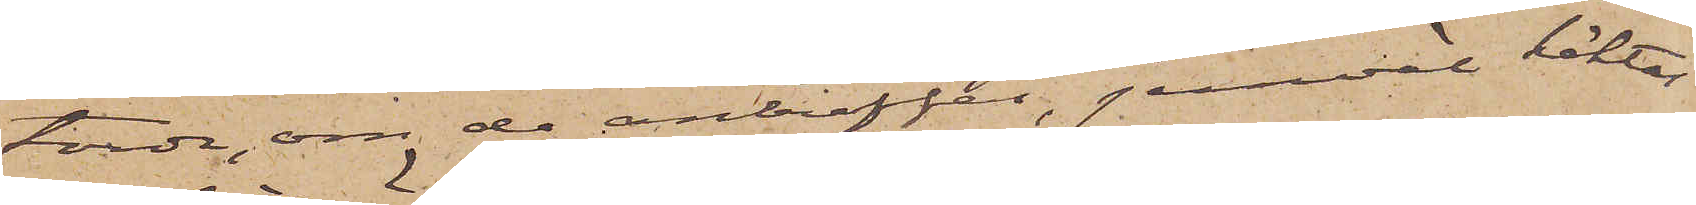torde, om de anträffas, jemväl häktas
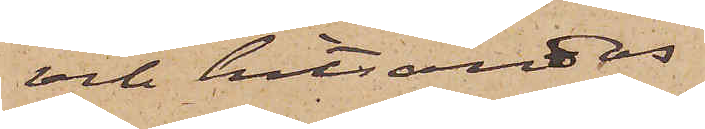och hitsändas.
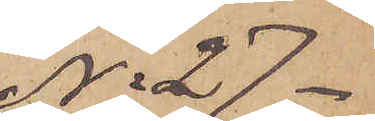No 27.
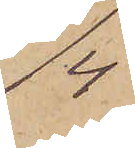4/4
